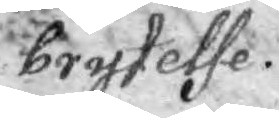brytelse.
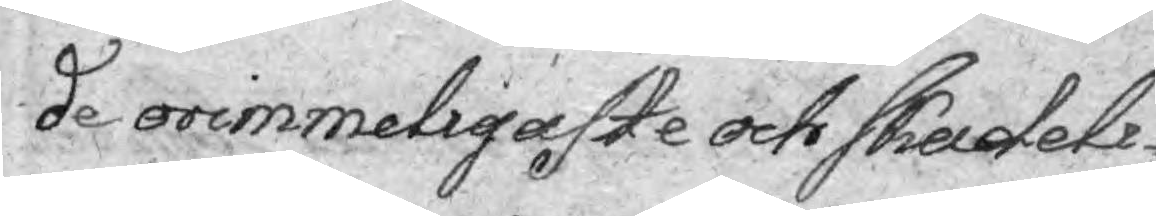de orimmeligaste och skadeli¬
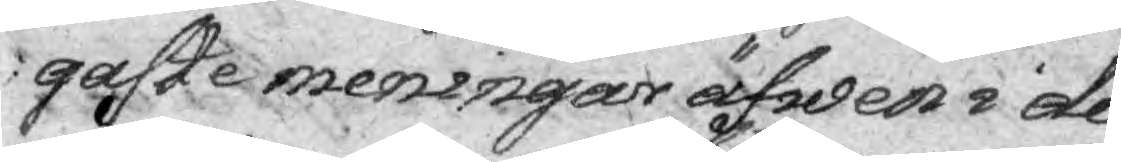gaste meningar äfwen i de
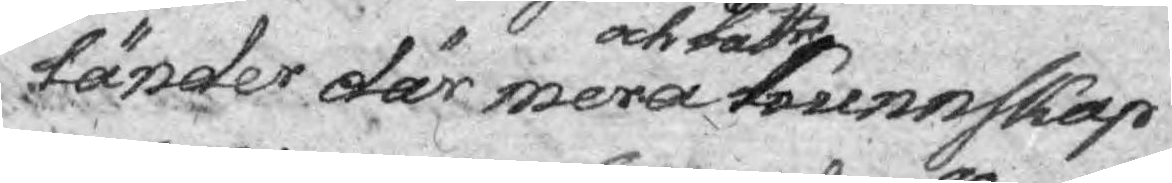länder där mera och bättre kunnskap
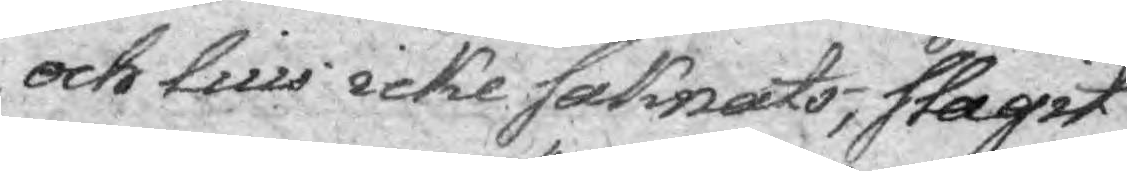och lius icke saknats, slagit
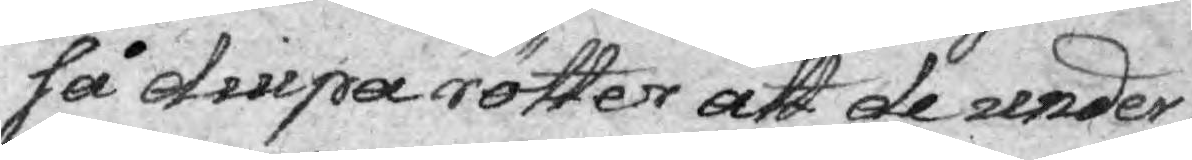så diupa rötter att de under
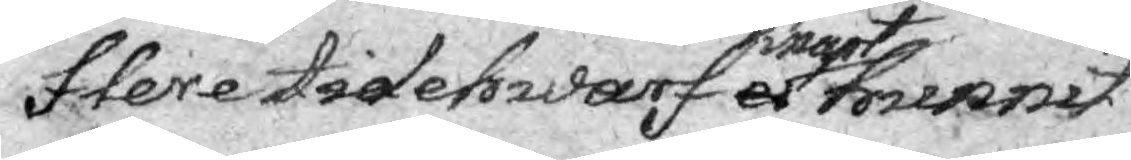flere tidehwarf ei knapt hunnit
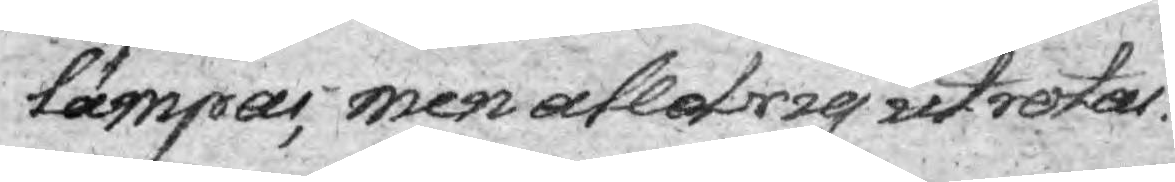lämpas, men alldrig utrotar.
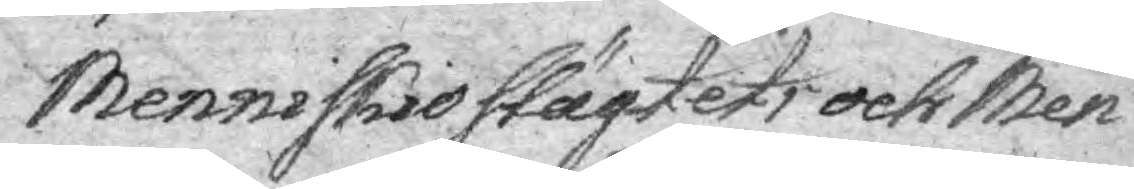Menniskio slägtets och Men¬
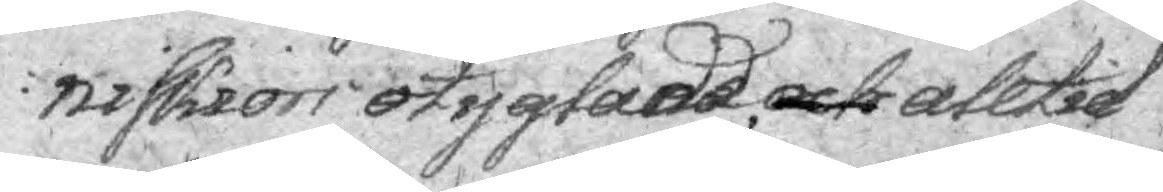niskiors otyglade och alltid
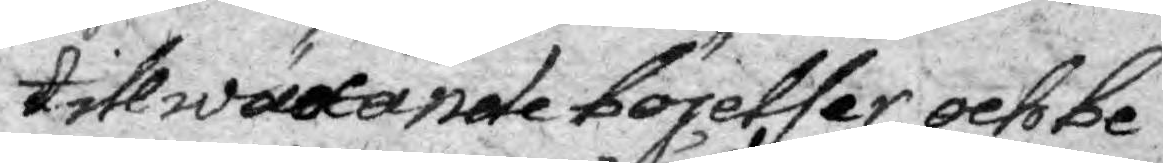tillwäxande böjelser och be¬
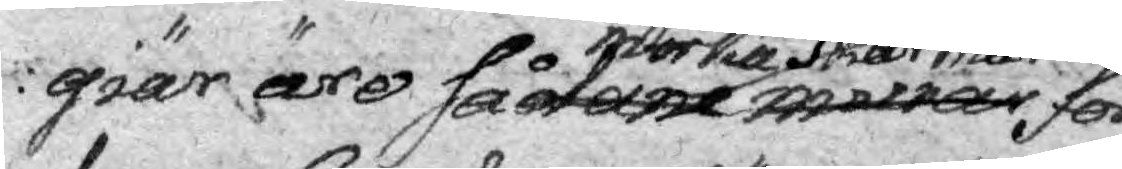giär äro sådane murar mörka skärmar för
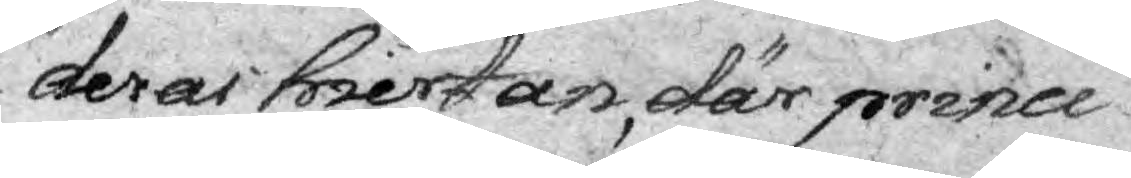deras hiertan, där princi¬
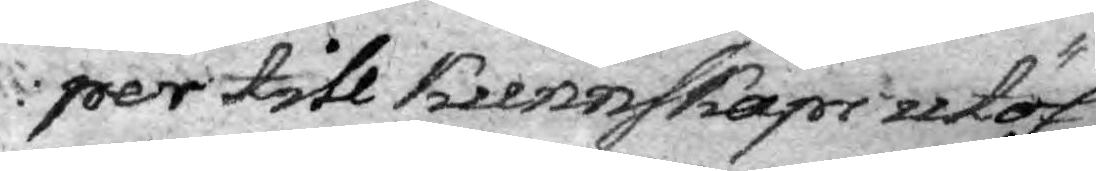per till Kunnskaps utöf¬
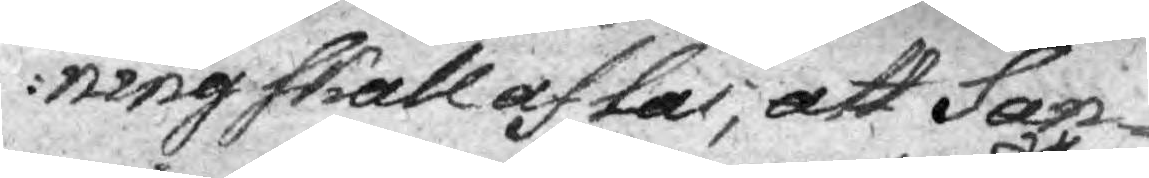ning skall aftas, att San¬
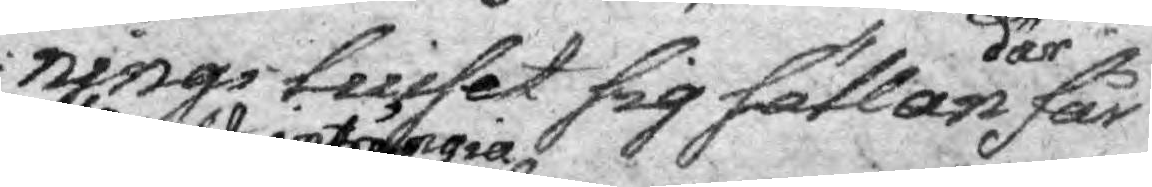nings luiset sig sällan där får 
